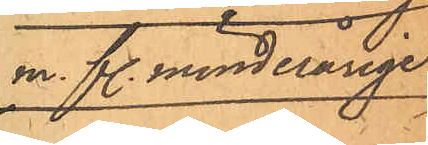m. fl. minderårige
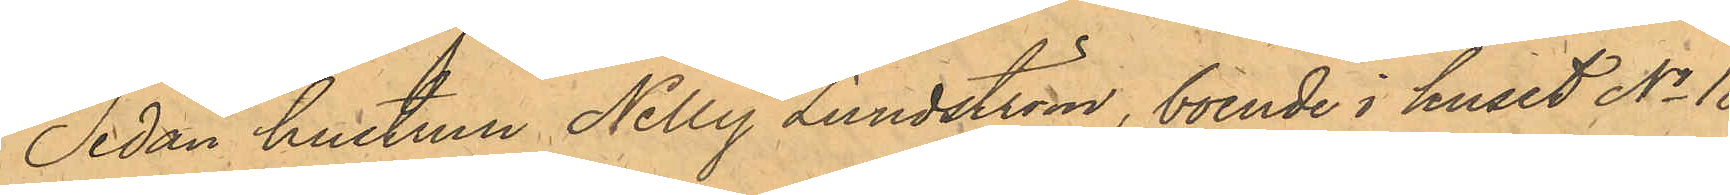Sedan hustrun Nelly Lundström, boende i huset No 18
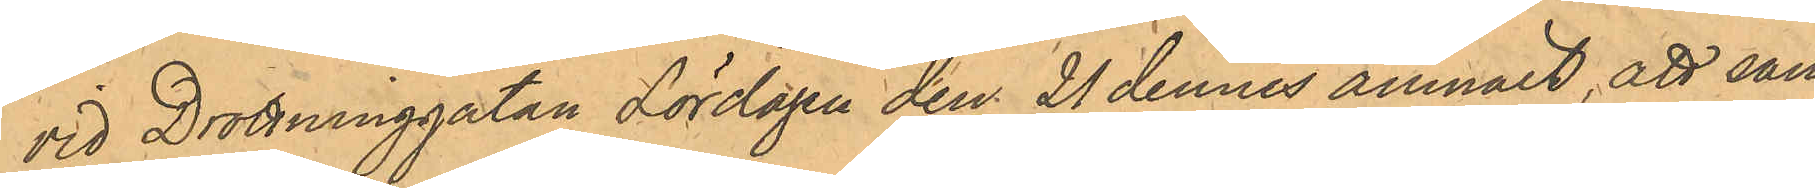vid Drottninggatan Lördagen den 21 dennes anmält, att sam¬
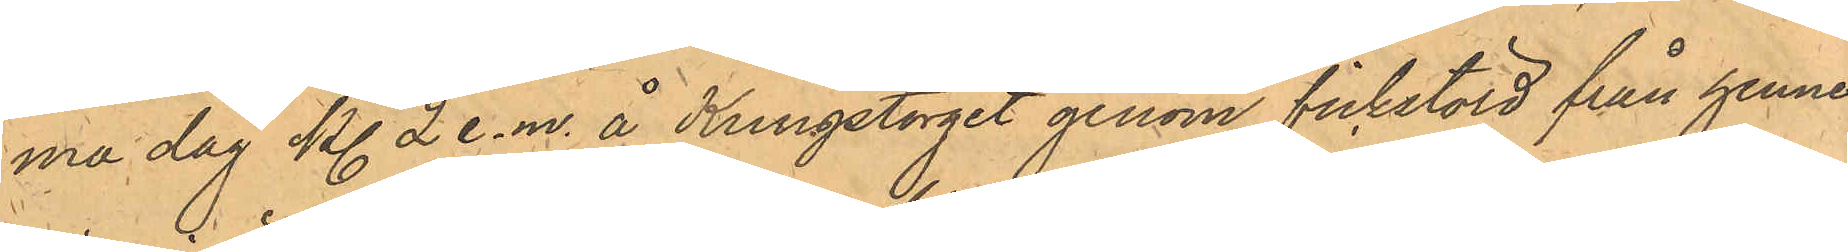ma dag kl. 2 e.m. å Kungstorget genom fickstöld från henne
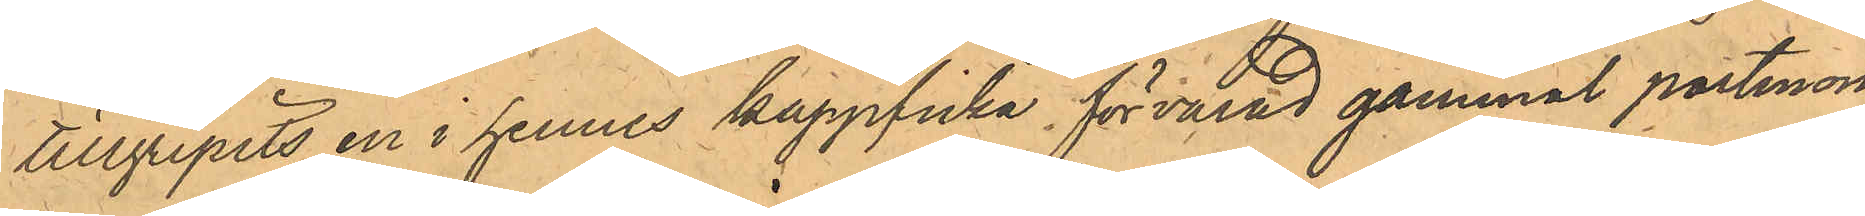tillgripits en i hennes kappficka förvarad gammal portmon¬
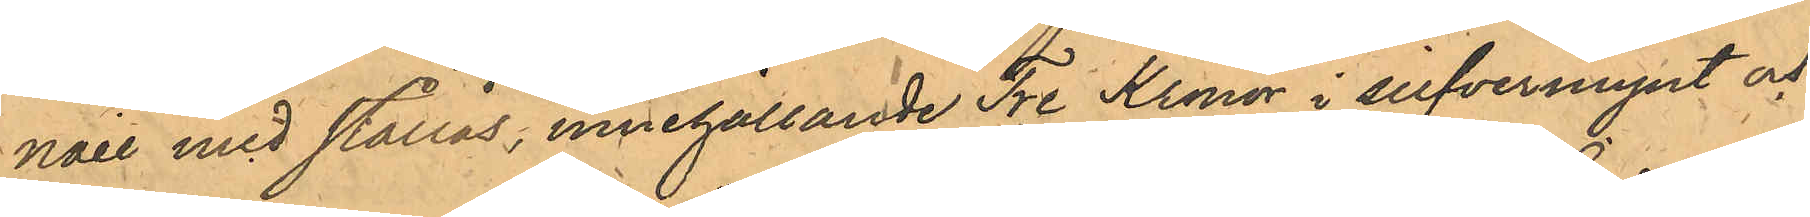naie med stållås, innehållande Tre Kronor i silfvermynt och
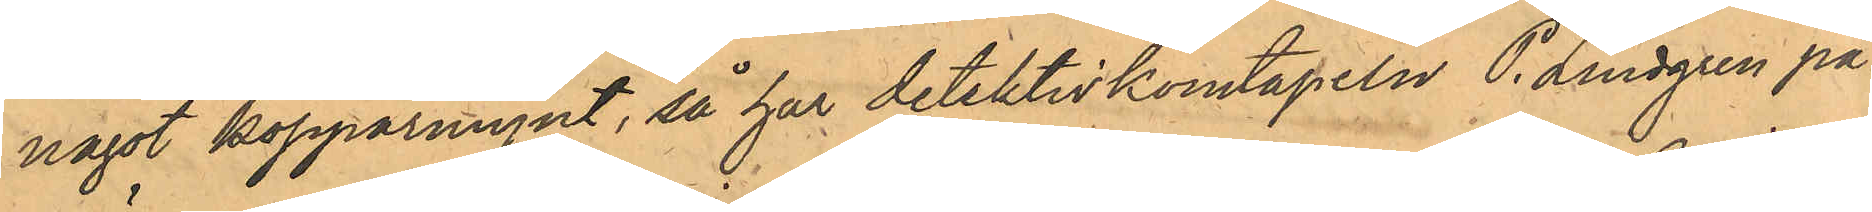något kopparmynt, så har detektivkonstapeln P. Lindgren på¬
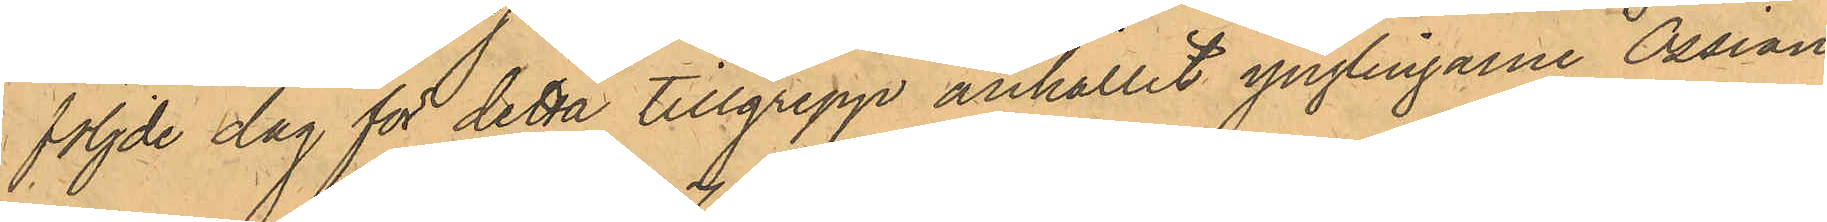följde dag för detta tillgrepp anhållit ynglingarne Ossian
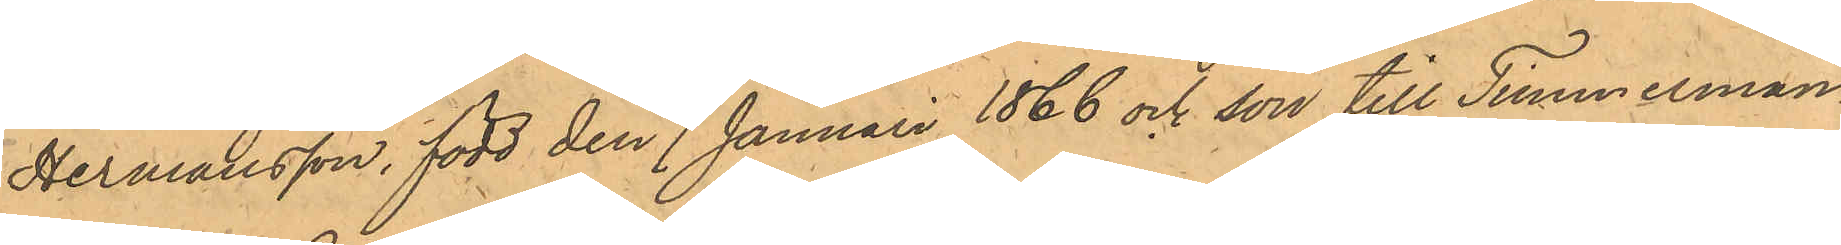Hermansson, född den 7 Januari 1866 och son till Timmerman¬
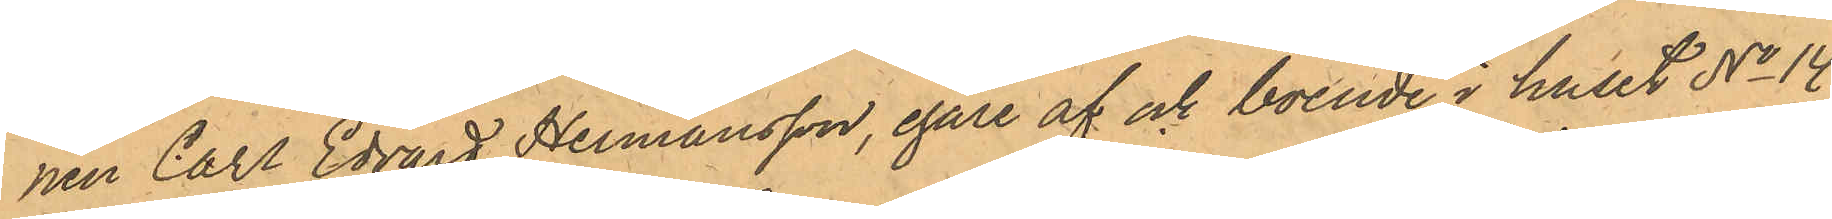nen Carl Edvard Hermansson, egare af och boende i huset No 14
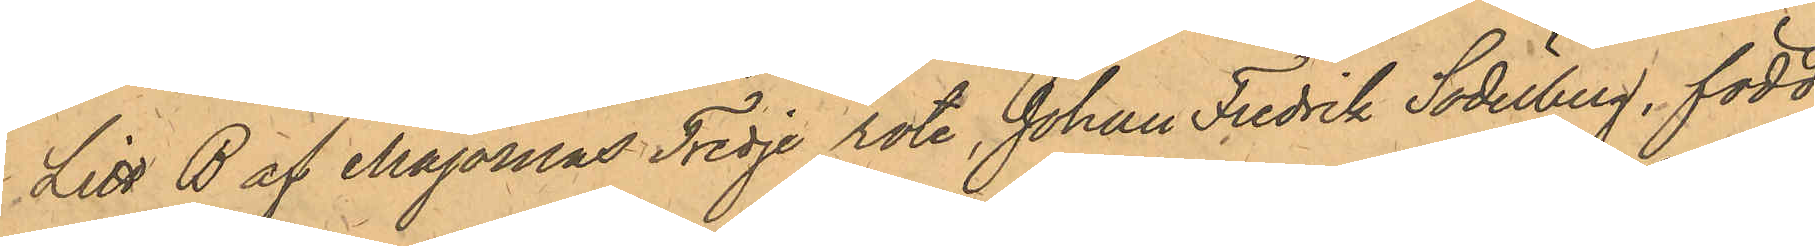Litt B af Majornas Tredje rote, Johan Fredrik Söderberg, född
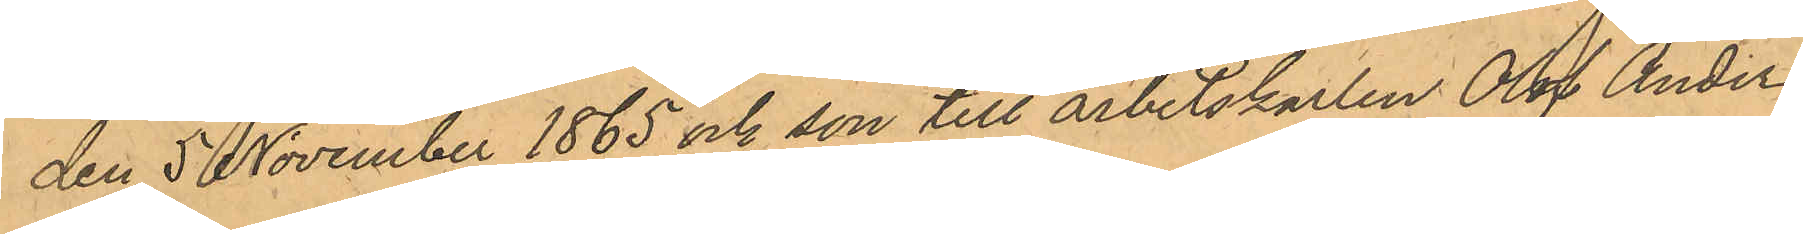den 5 November 1865 och son till arbetskarlen Olof Anders
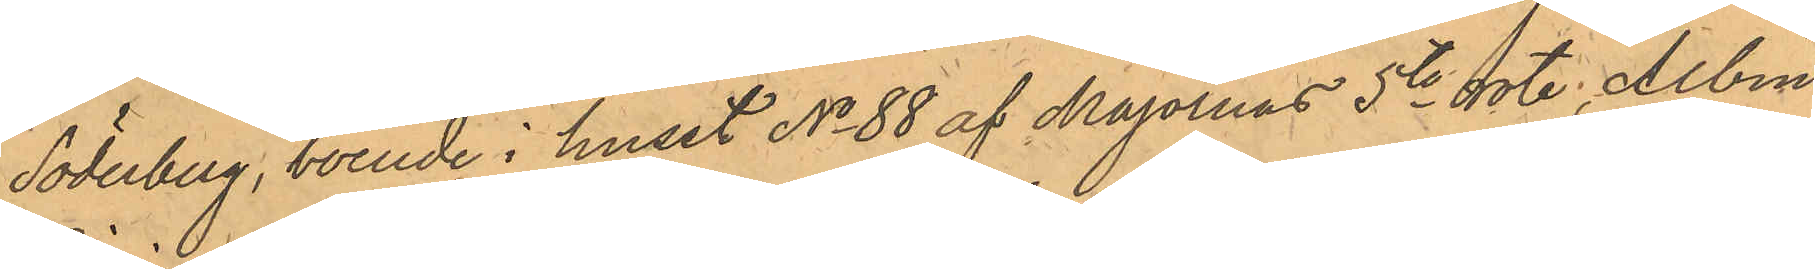Söderberg, boende i huset No 88 af Majornas 5te rote, Albin
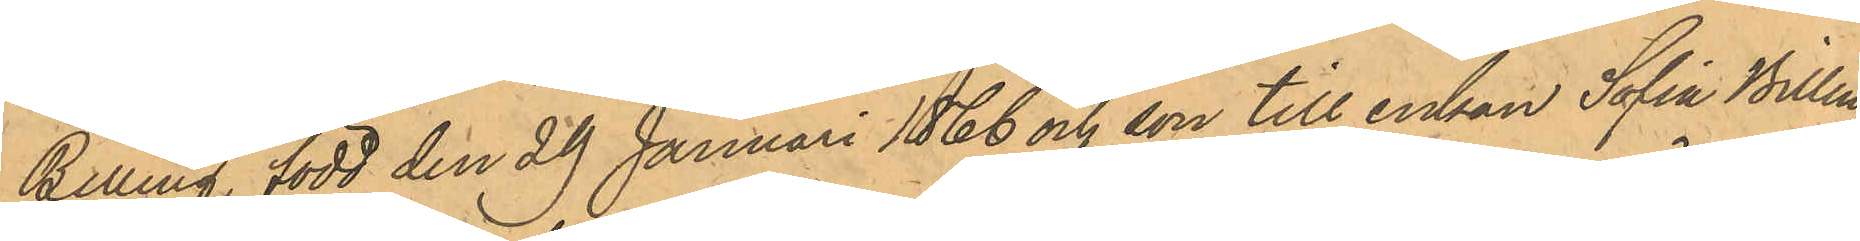Billing, född den 29 Januari 1866 och son till enkan Sofia Billing
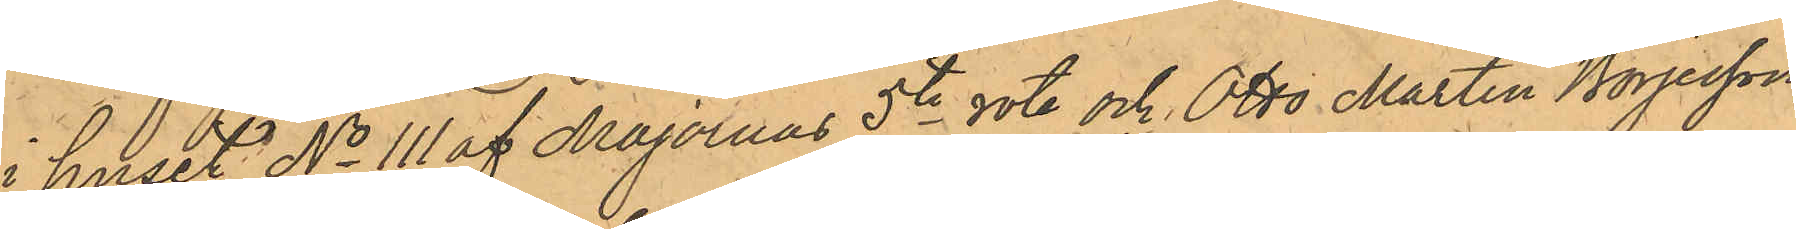i huset No 111 af Majornas 5te rote och Otto Martin Börjesson,
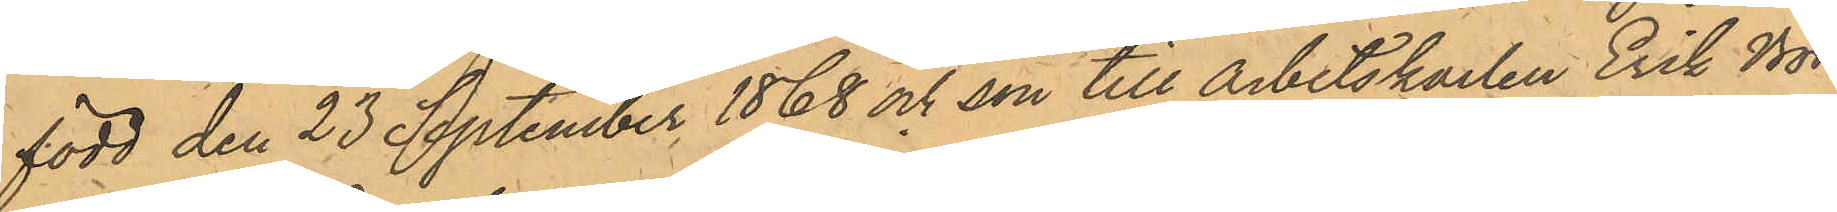född den 23 September 1868 och son till arbetskarlen Erik Bör¬
